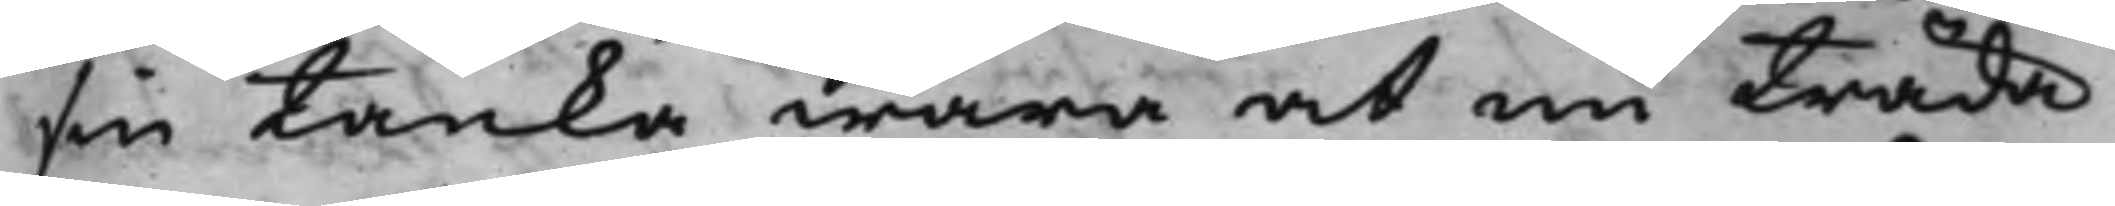sin tanka wara at nu träda
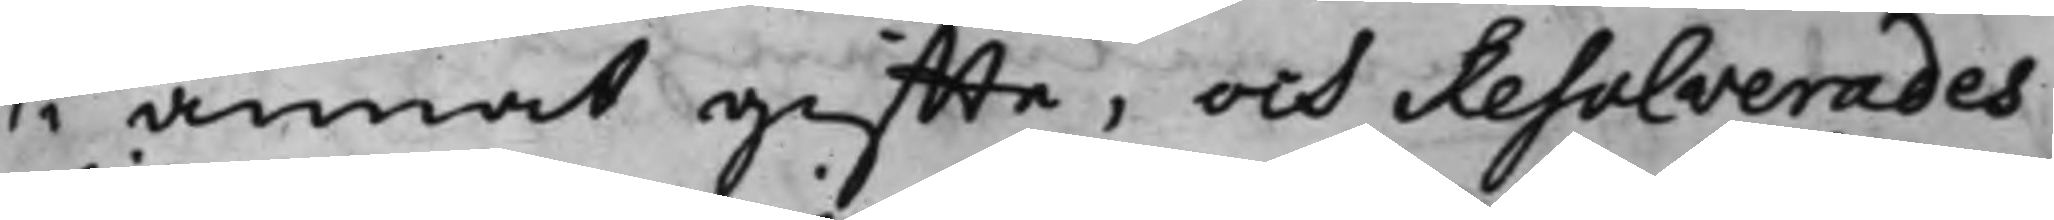i annat giffte, och Resolverades
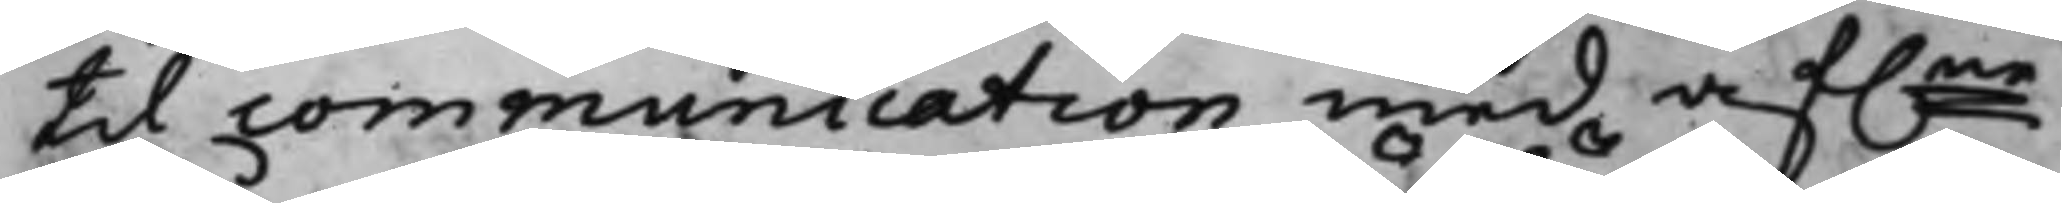til communication med af.ne
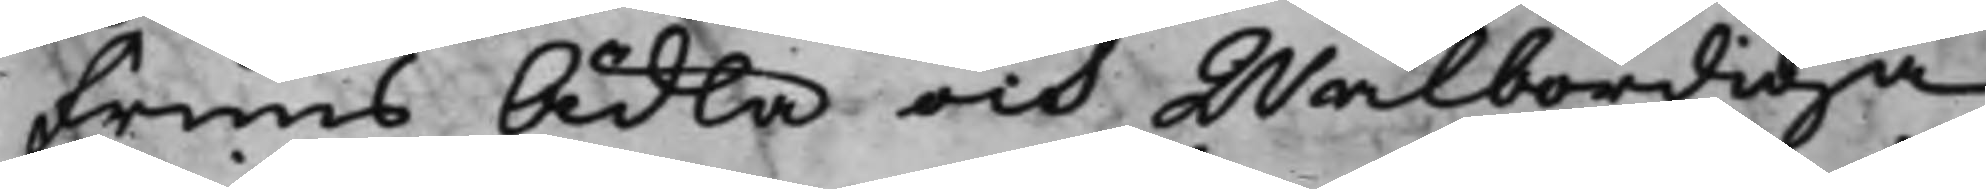Fruns Ädla och Wälbördiga
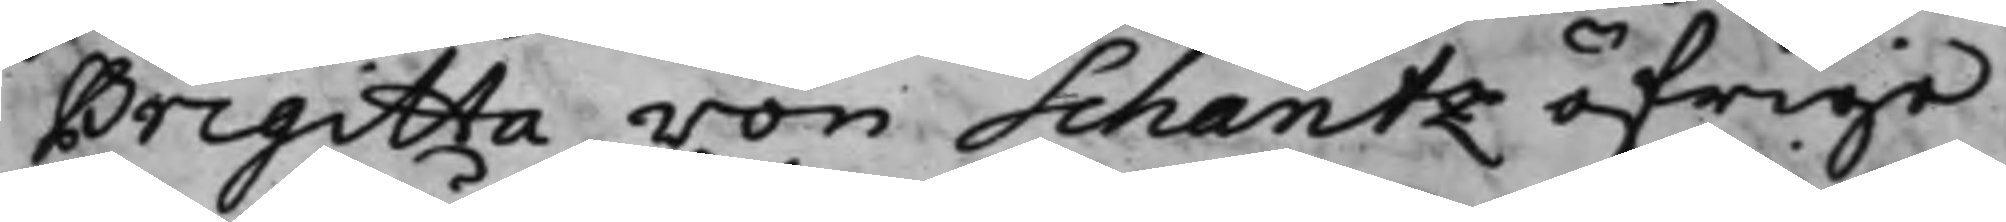Brigitta von Schantz öfrige
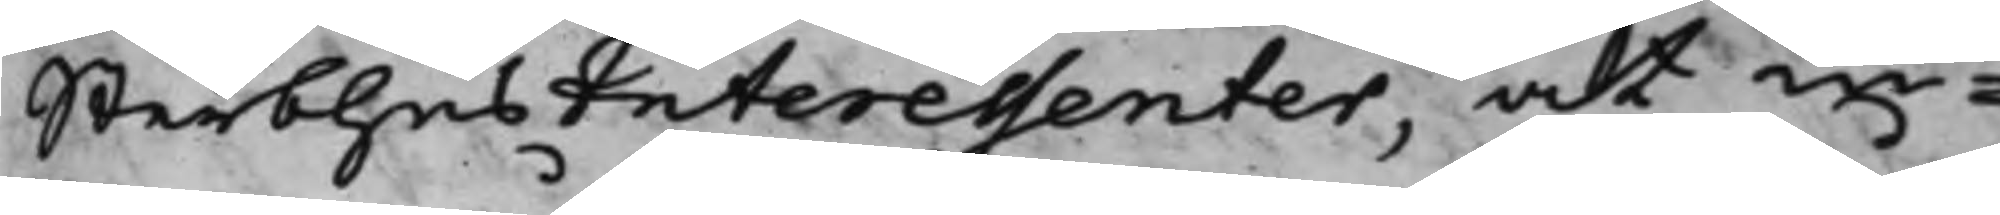SterbhusInteressenter, at in¬
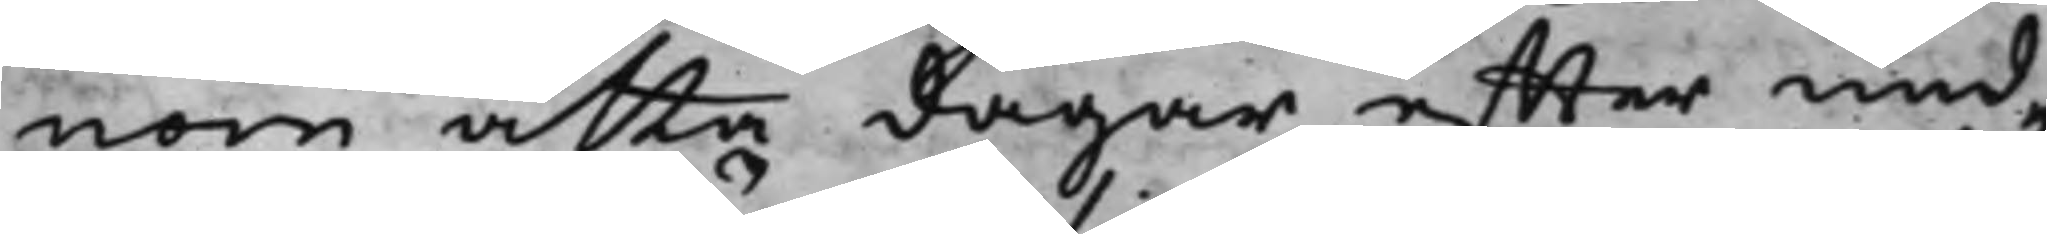nom åtta dagar effter und¬
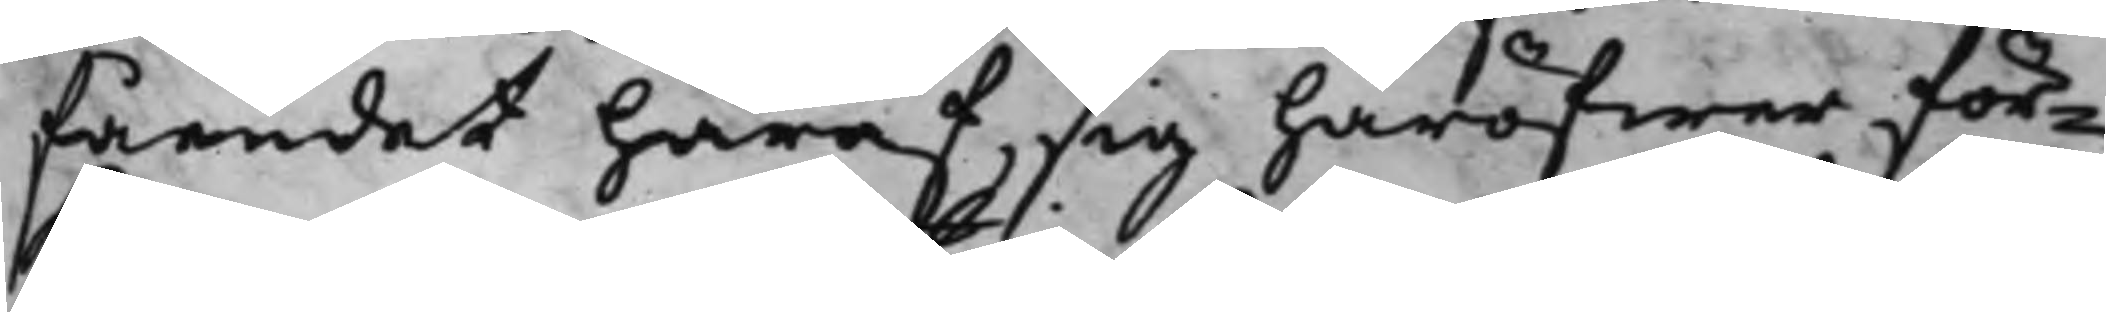fåendet häraf, sig häröfwer för¬
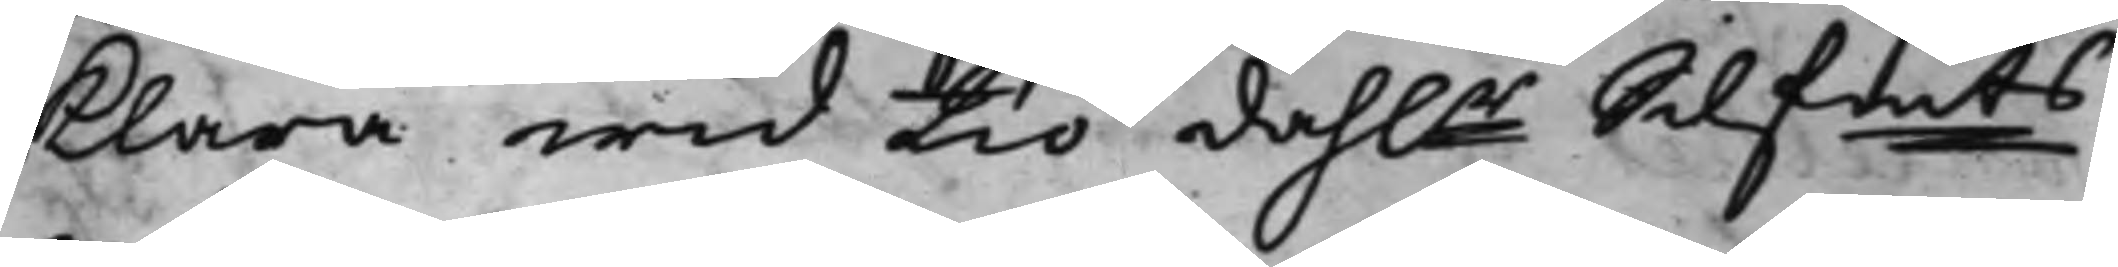klara wid tio dah.r Silfmts
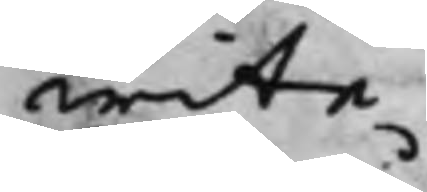wite.
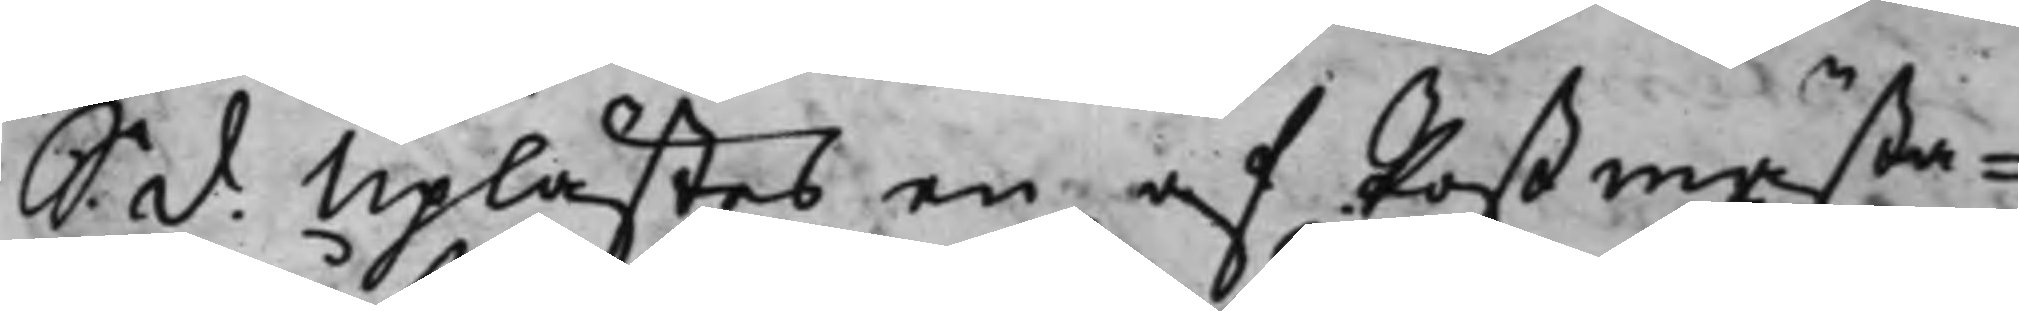S: d: Uplästes en af Postmästa¬
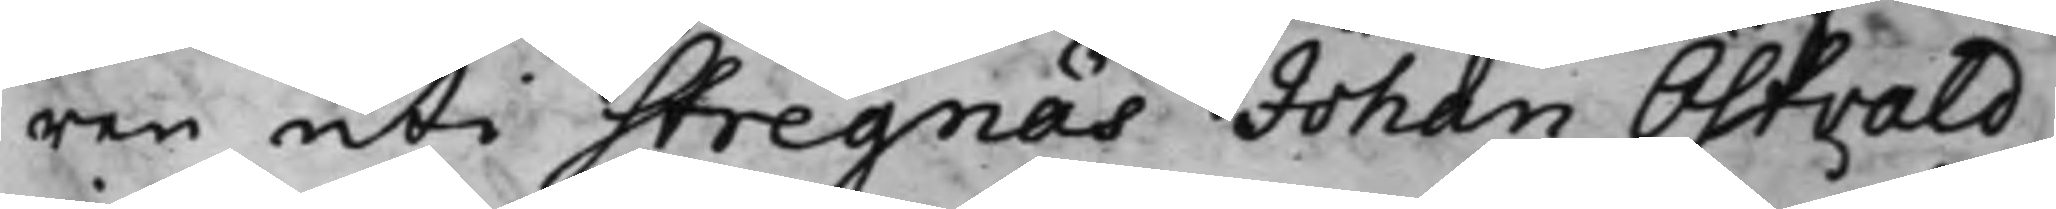ren uti Stregnäs Johan Östvald
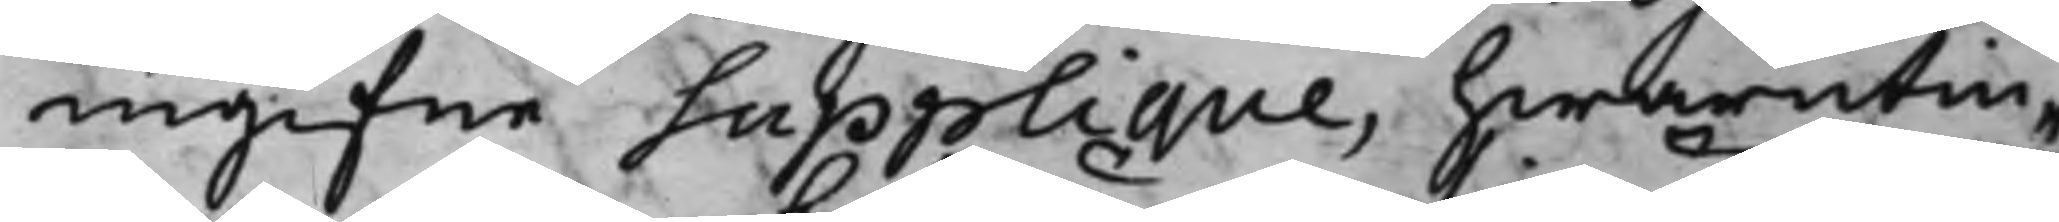ingifne Supplique, hwarutin¬
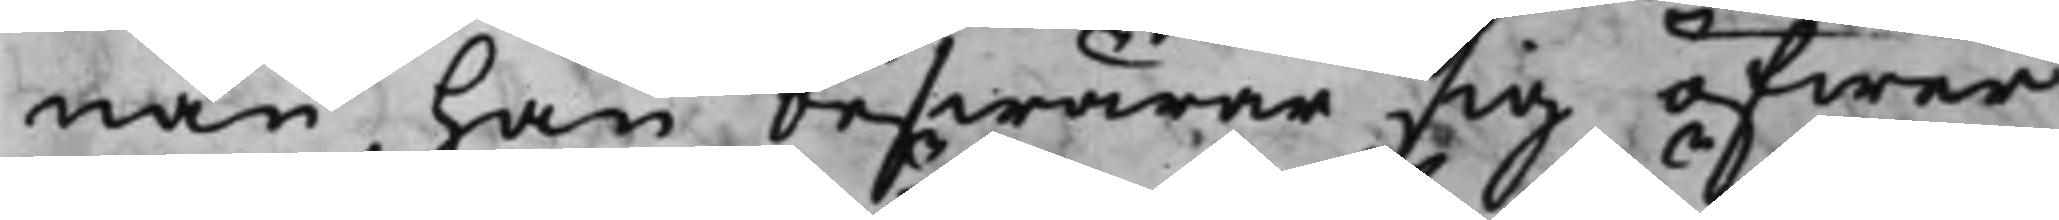nan han beswärar sig öfwer
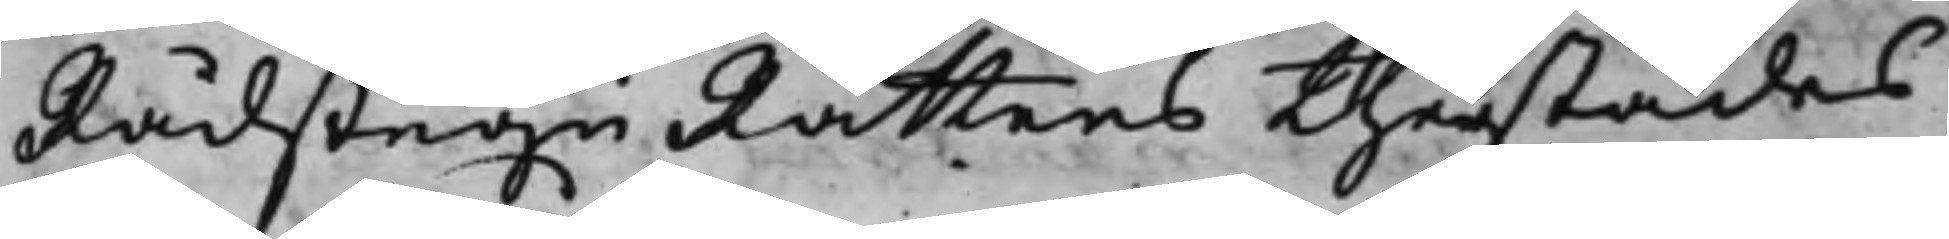RådstuguRättens therstädes
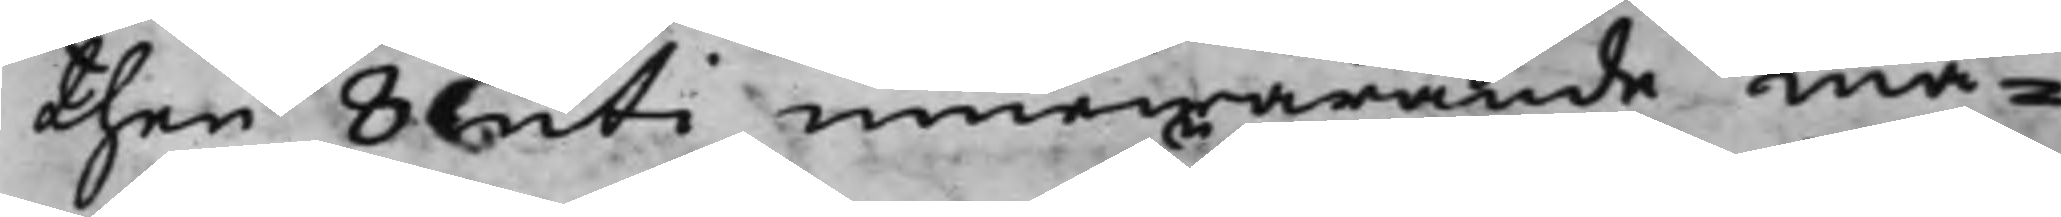then 8 uti innewarande må¬
